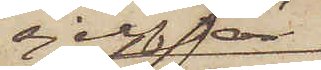sjelf är
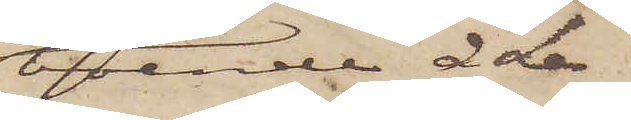boende å Le¬
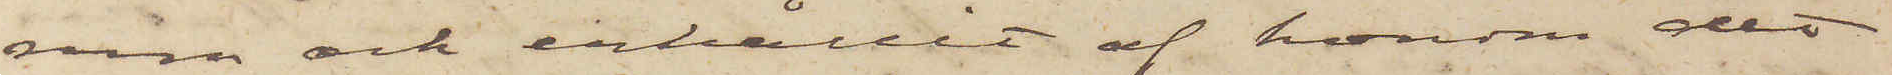rum och erhållit af honom det
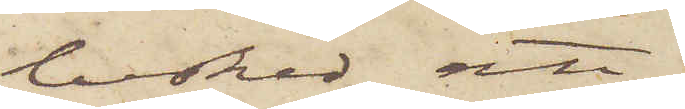besked; att
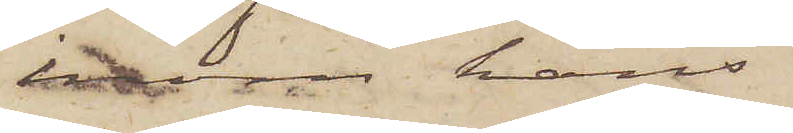inom hans
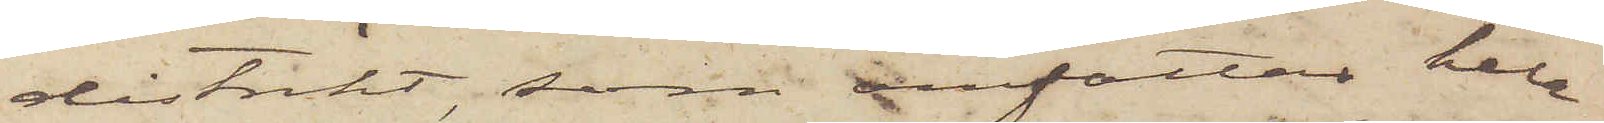distrikt, som omfattar hela
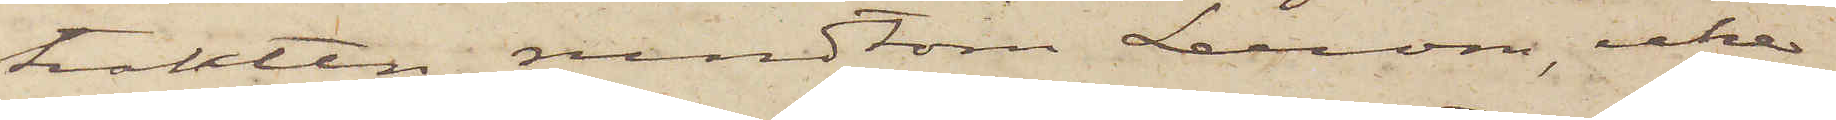trakten rundtom Lerum, icke
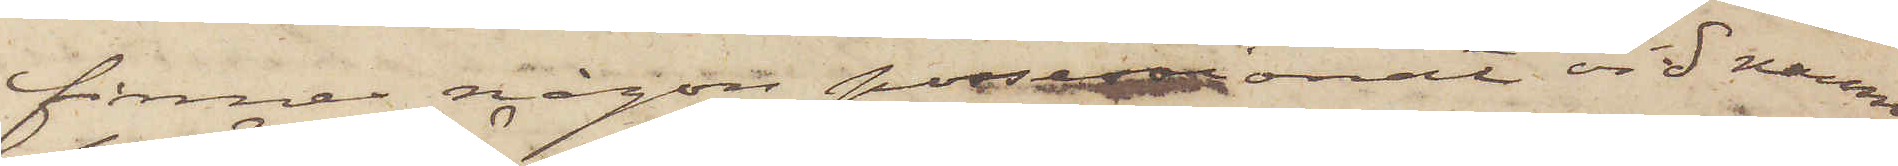finnes någon possessionat vid namn
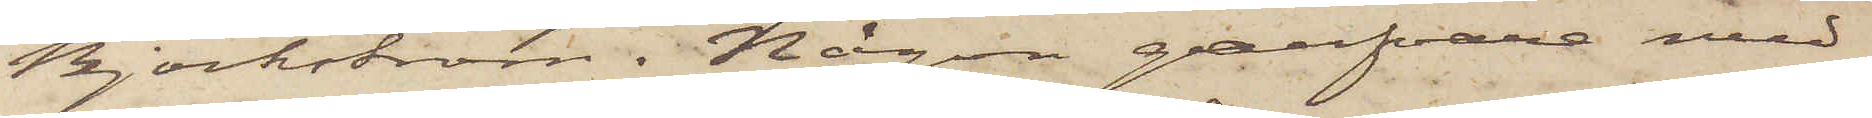Björkström. Någon garfvare med
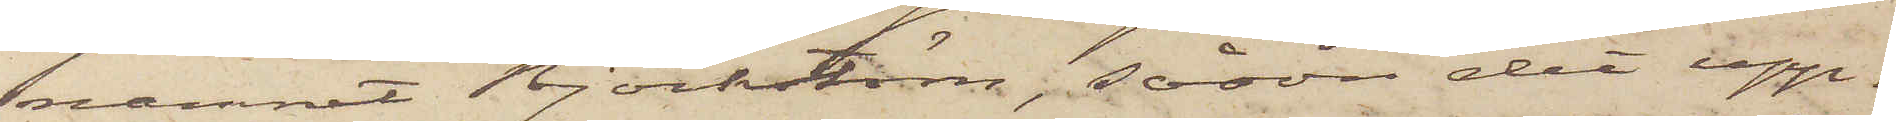namnet Björkström, såsom det upp¬
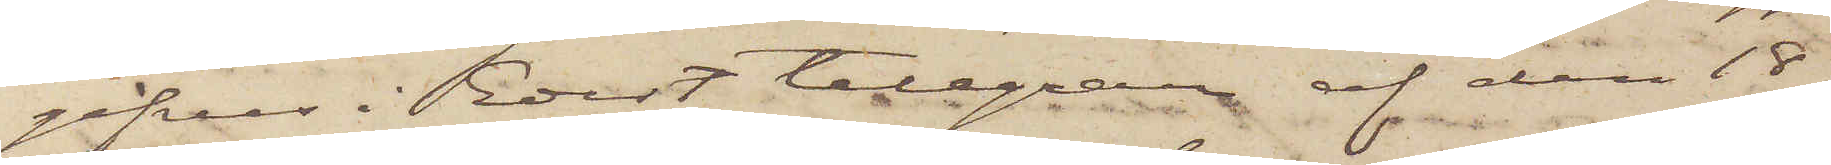gifves i Edert telegram af den 18
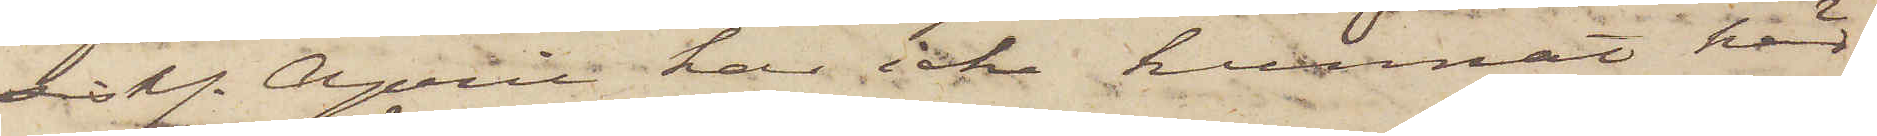sistl. April har icke kunnat här
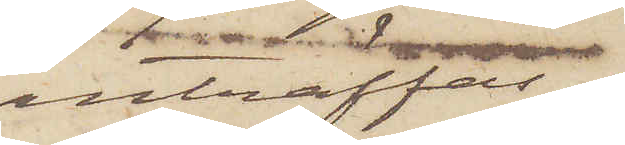anträffas.
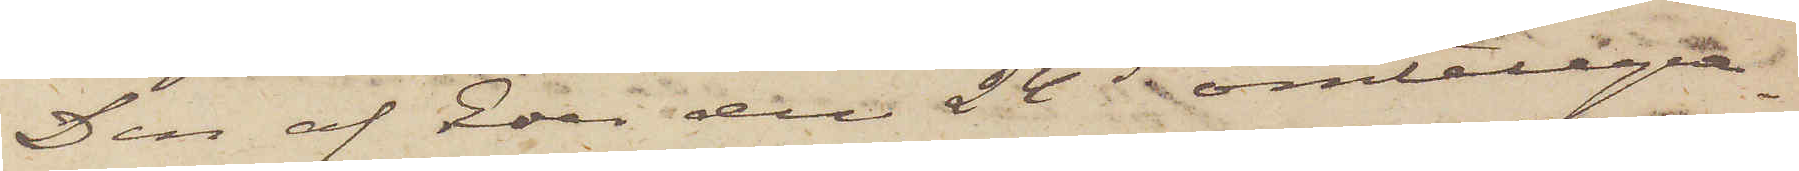Den af Eder den 24 ds omtelegra¬
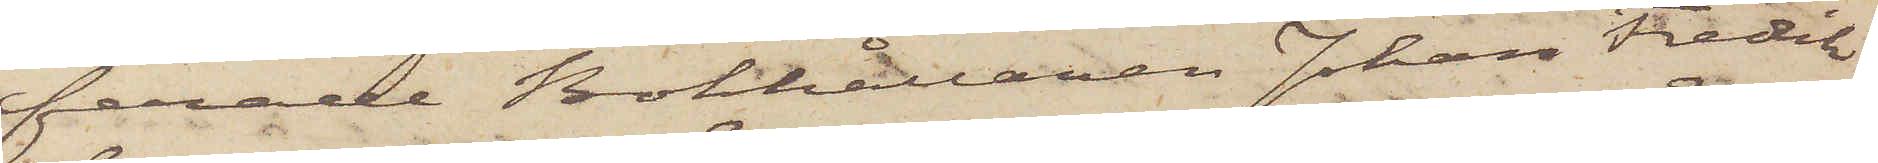ferade Bokhållaren Johan Fredrik
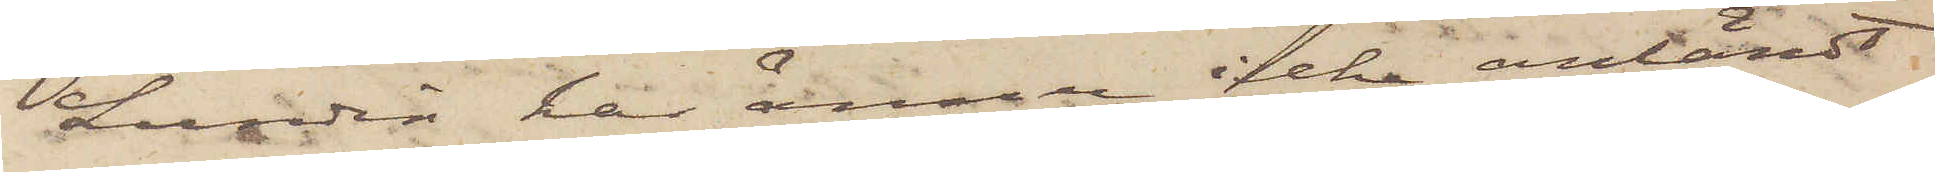Sundin har ännu icke anländt
